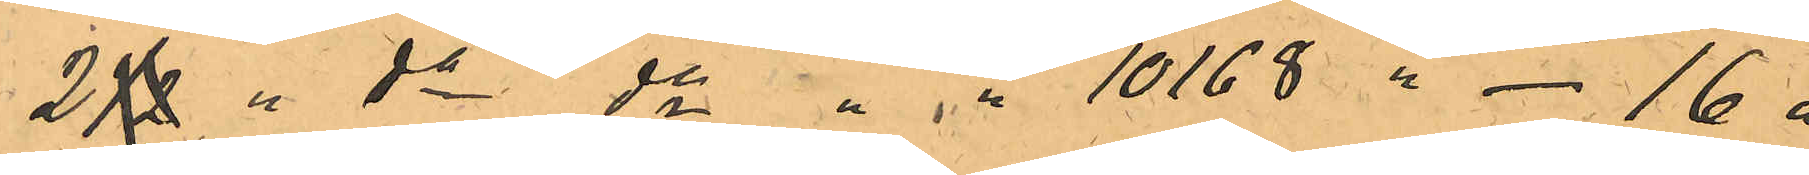2 1/2  "  do do " " 10168 " - 16 "
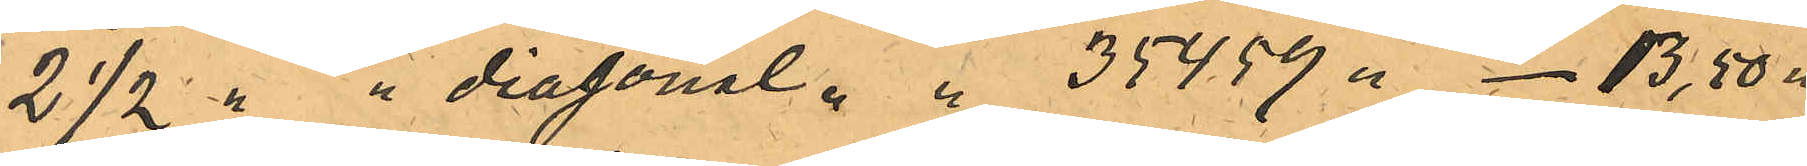2 1/2 " " diagonal " " 35459 " - 13,50 "
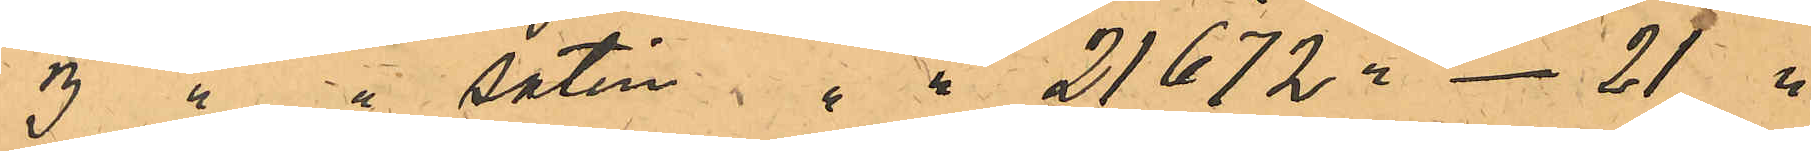3 " " satin " " 21872 " - 21 "
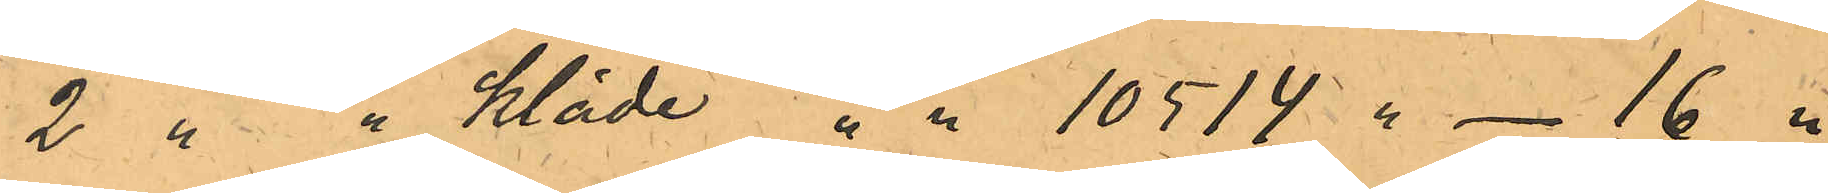2 " " kläde " " 10514 " - 16 "
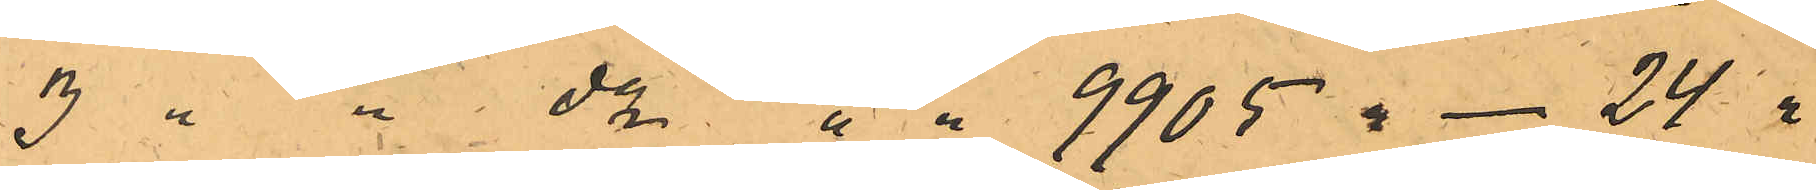3 " " do " " 9905 " - 24 "
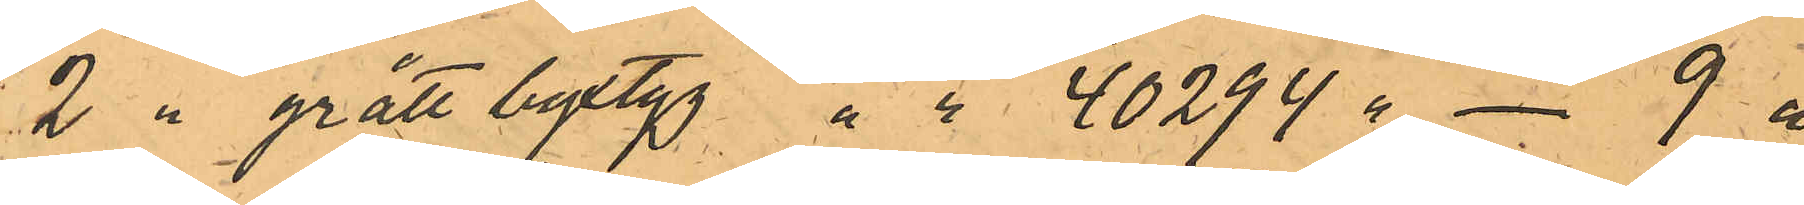2 " grått byxtyg " " 40294 " - 9 "
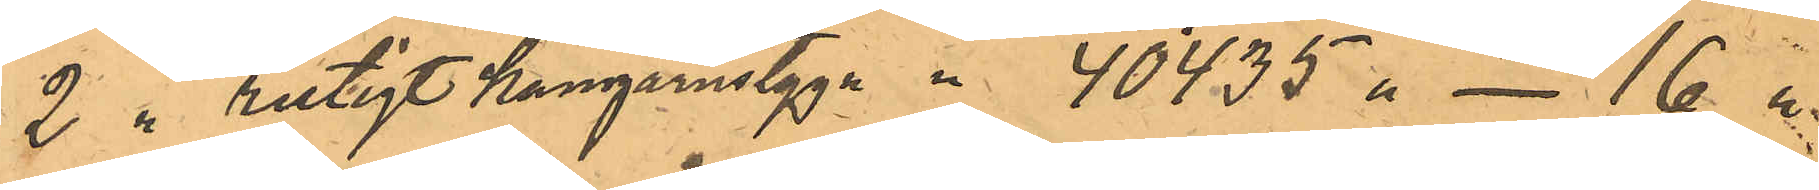2 " rutigt kamgarnstyg " " 40435 " - 16 "
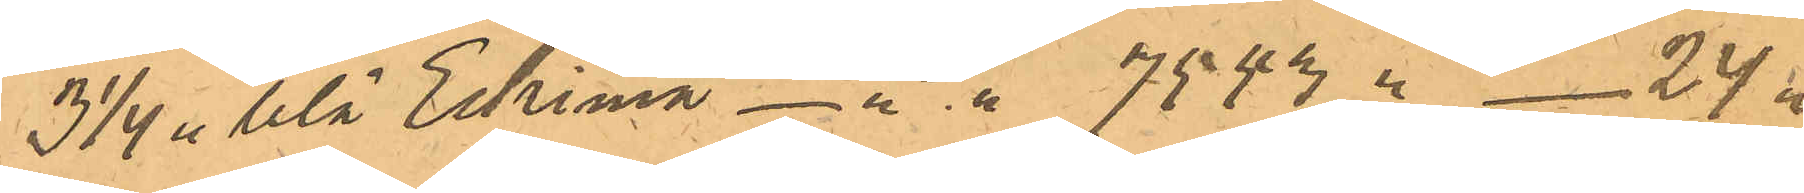3 1/4 " blå Eskimå - " " 7543 " - 24 "
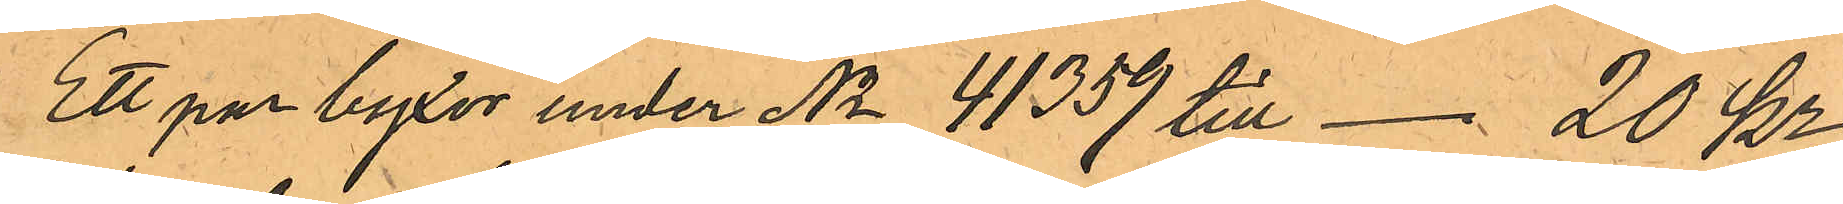Ett par byxor under No 41359 till - 20 Kr
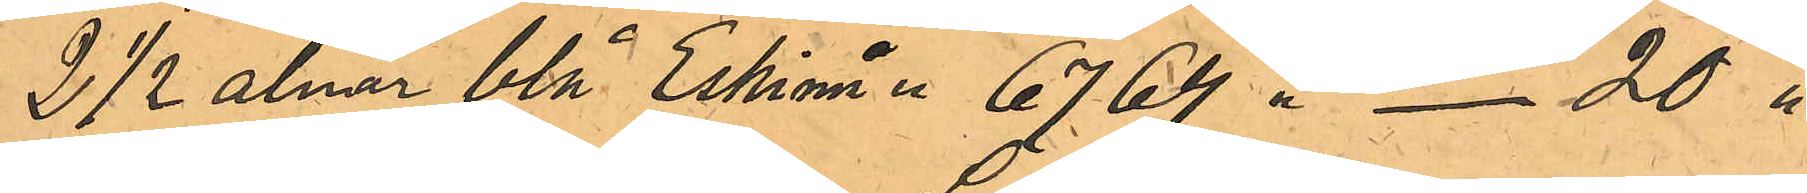2 1/2 alnar blå Eskimå " 6764 " - 20 "
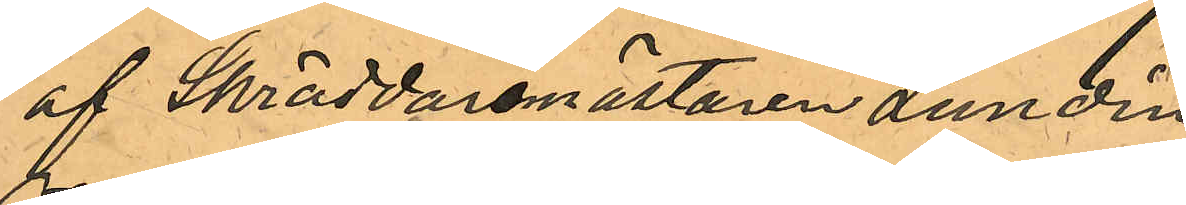af Skräddaremästaren Lundin
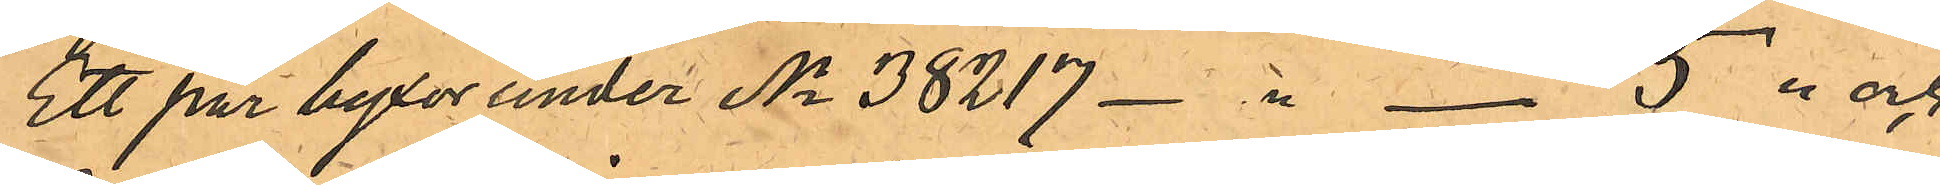Ett par byxor under No 38217 - " - 5 " och
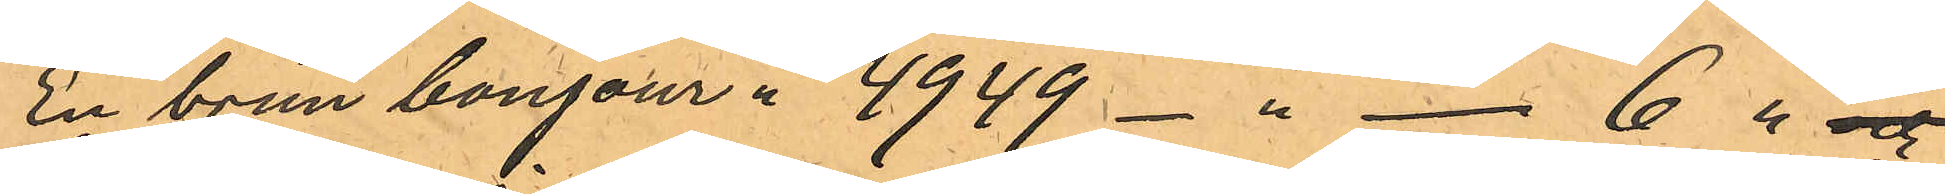En brun bonjour " 4949 - " - 6 " och
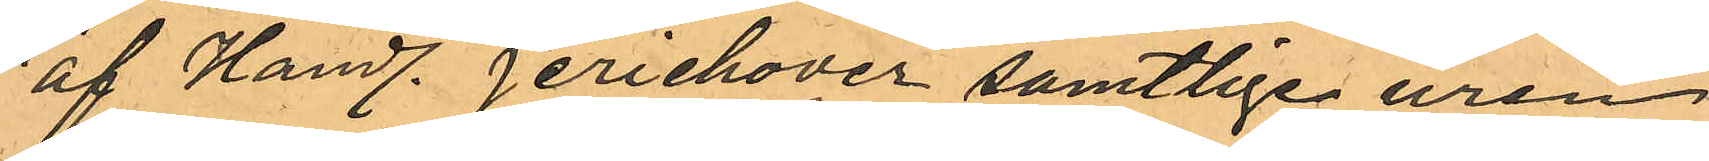och af Handl. Jerichover samtlige uren
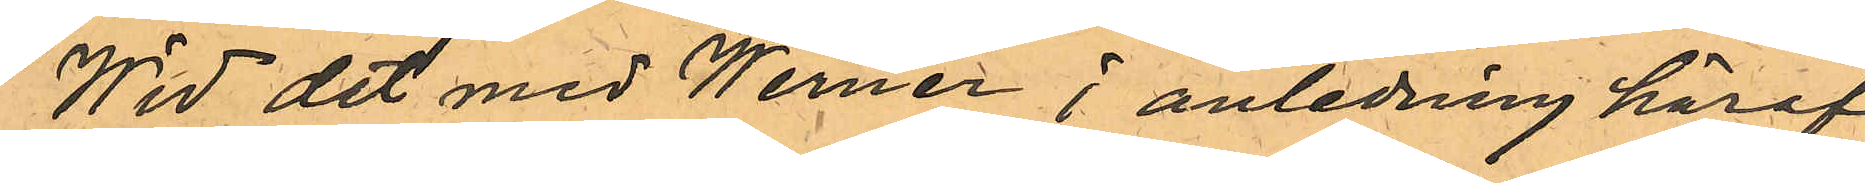Wid det med Werner i anledning häraf
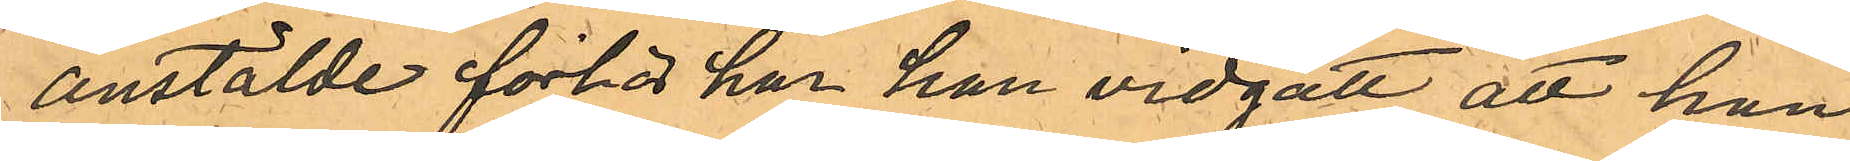anställde förhör har han vidgått att han
